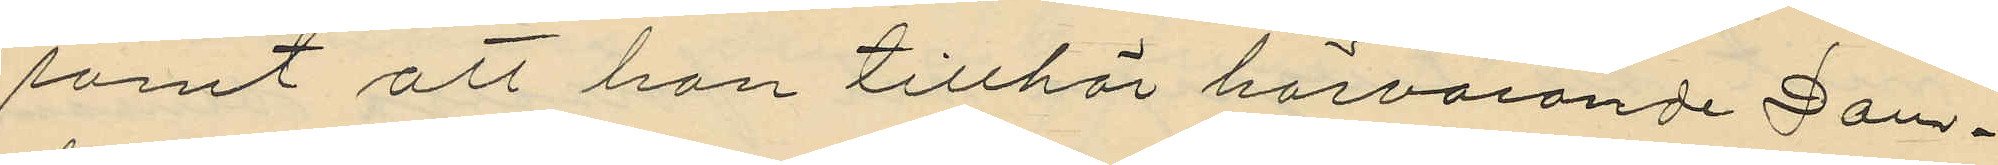samt att han tillhör härvarande Dom¬
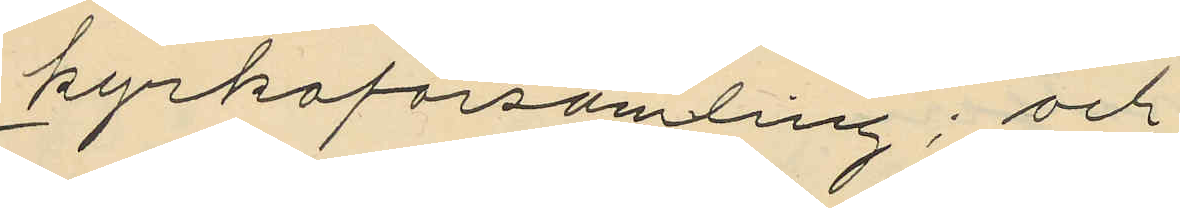kyrkoförsamling; och
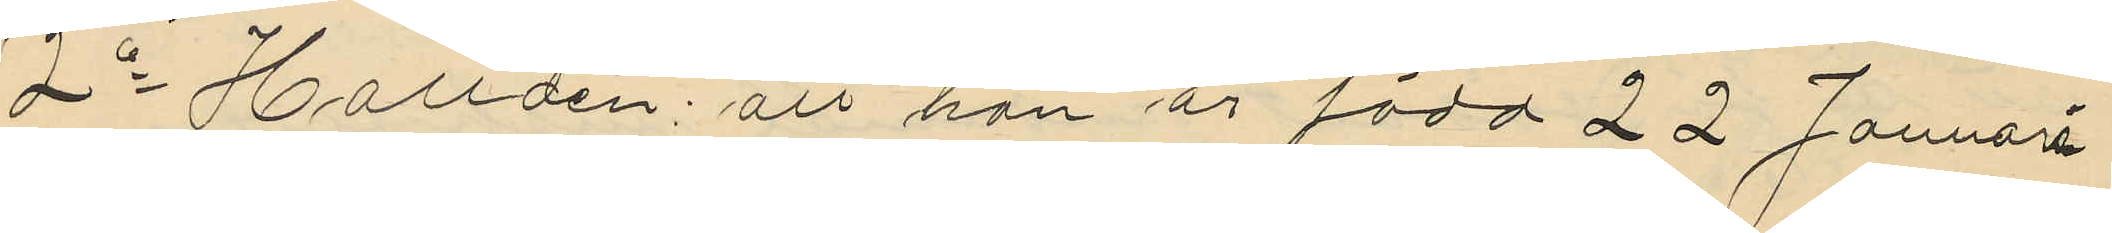2o Halldén: att han är född 22 Januari
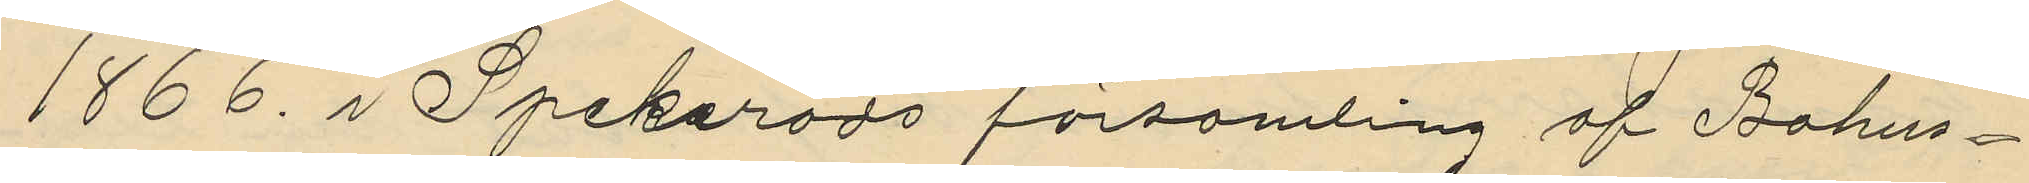1866 i Spekeröds församling af Bohus¬
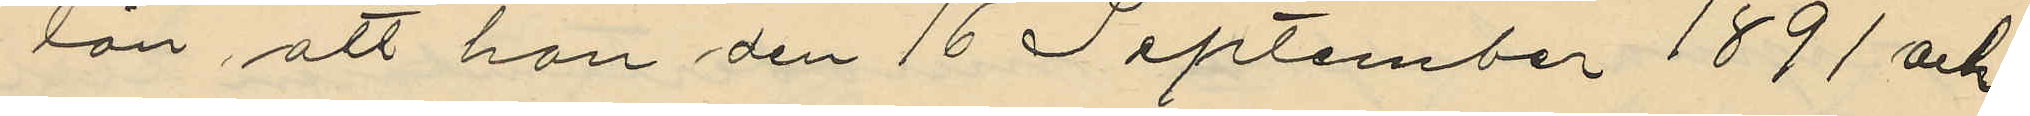län, att han den 16 September 1891 och
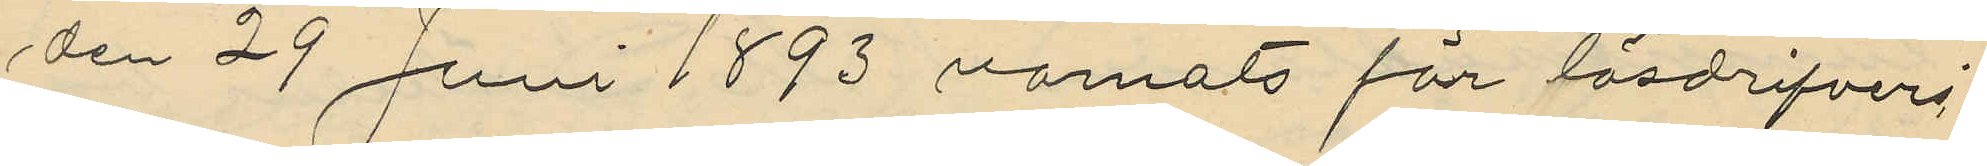den 29 Juni 1893 varnats för lösdrifveri
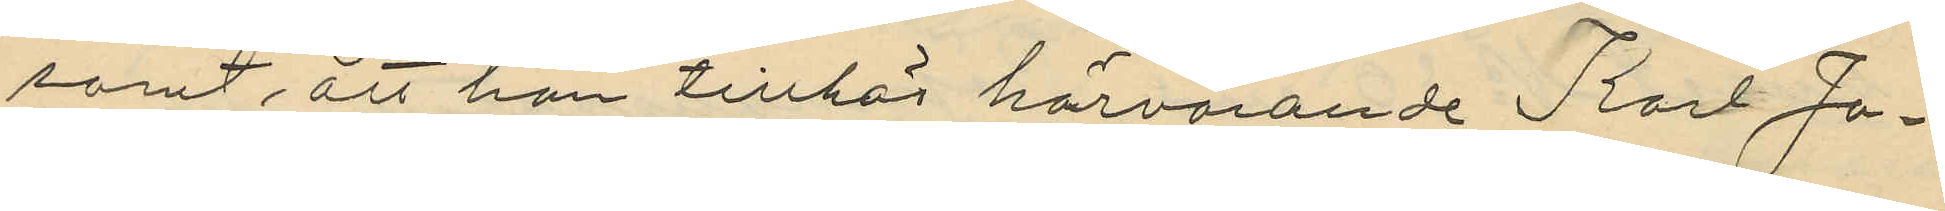samt, att han tillhör härvarande Karl Jo¬
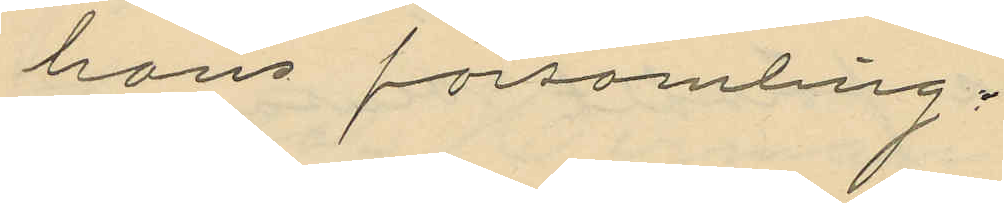hans församling;
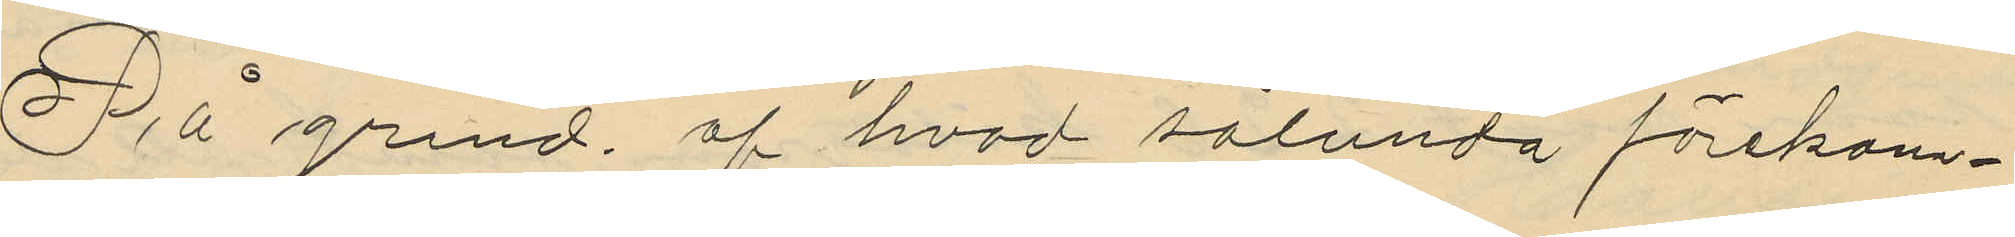På grund af hvad sålunda förekom¬
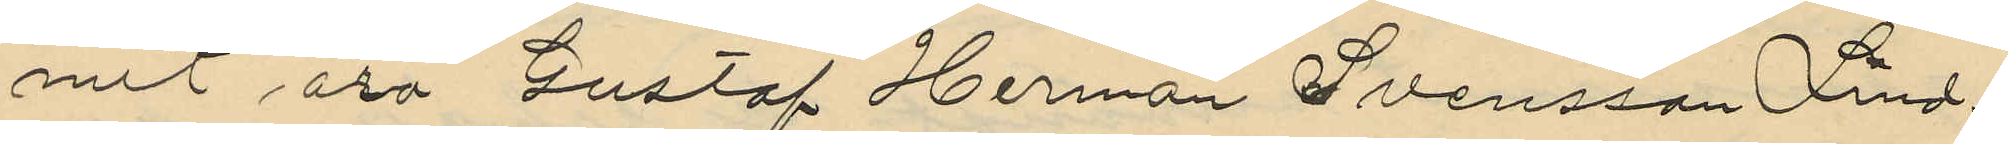mit äro Gustaf Herman Svensson Lind¬
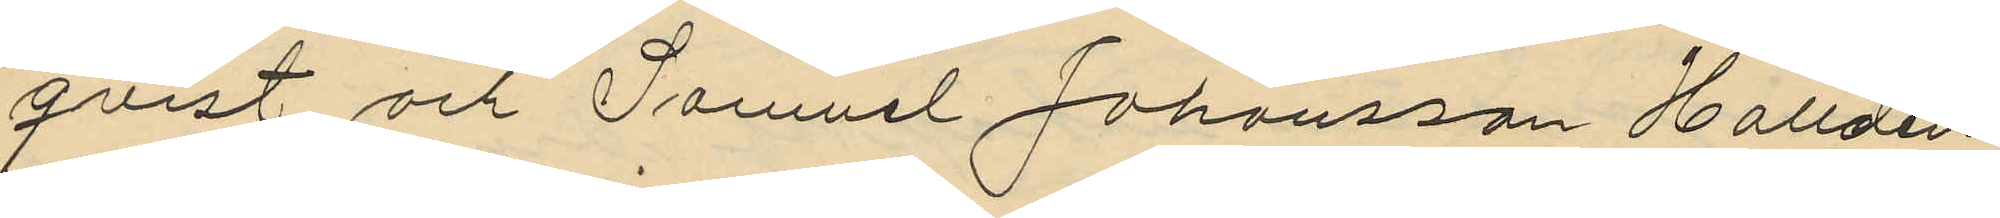qvist och Samuel Johansson Halldén
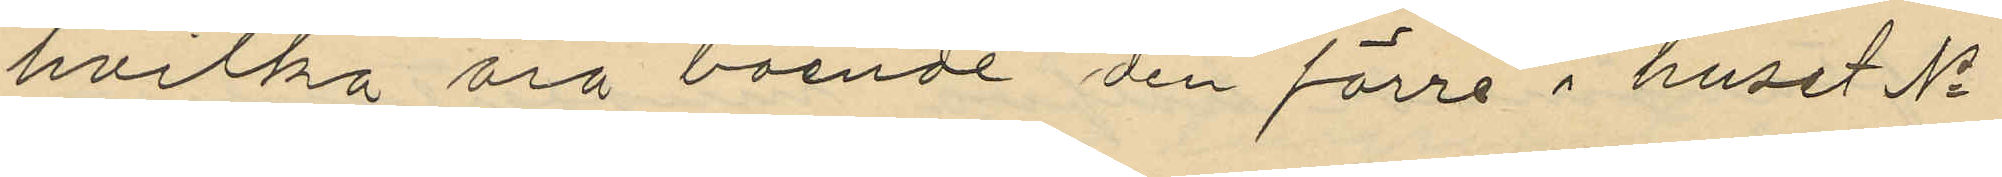hvilka äro boende den förre i huset No
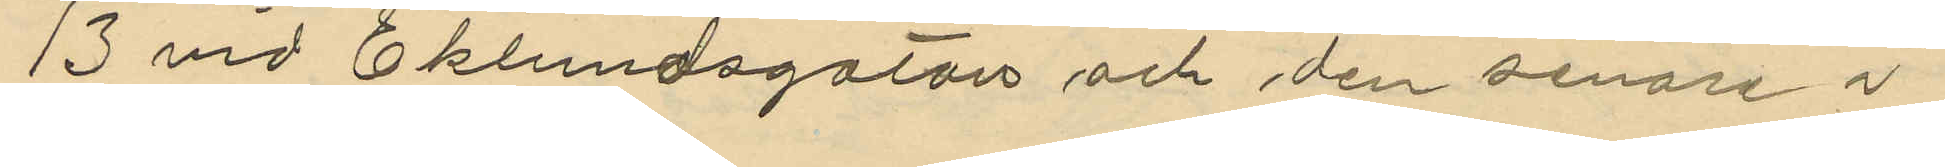13 vid Eklundsgatan och den senare i
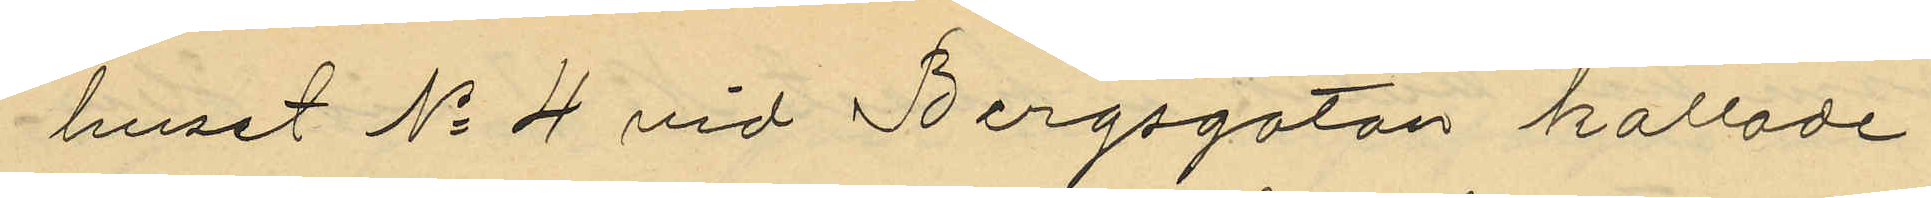huset No 4 vid Bergsgatan kallade
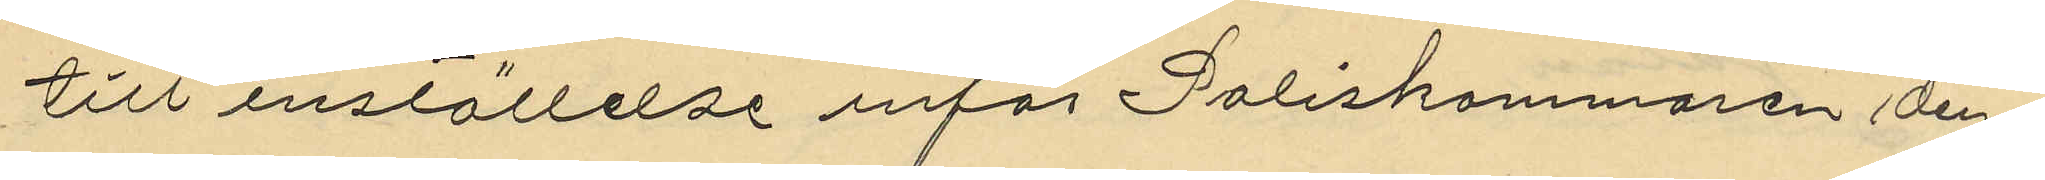till inställelse inför Poliskammaren den¬
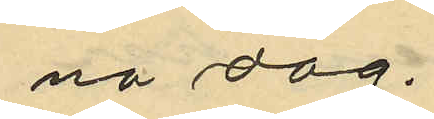na dag.
